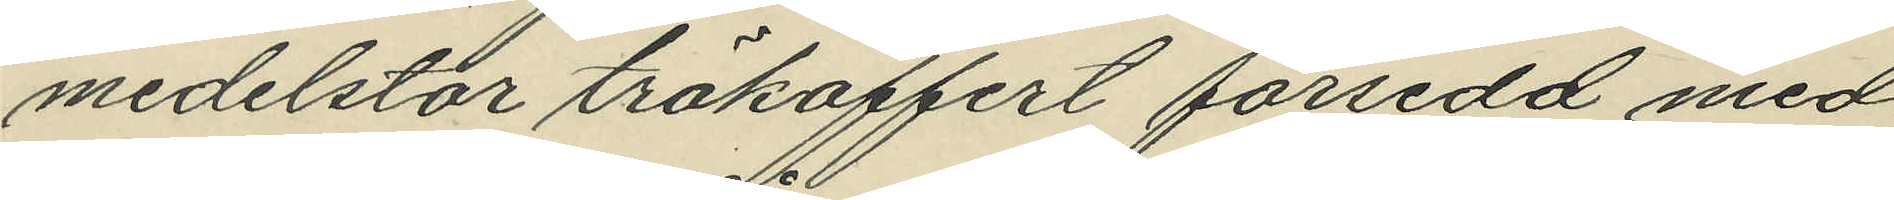medelstor träkoffert försedd med
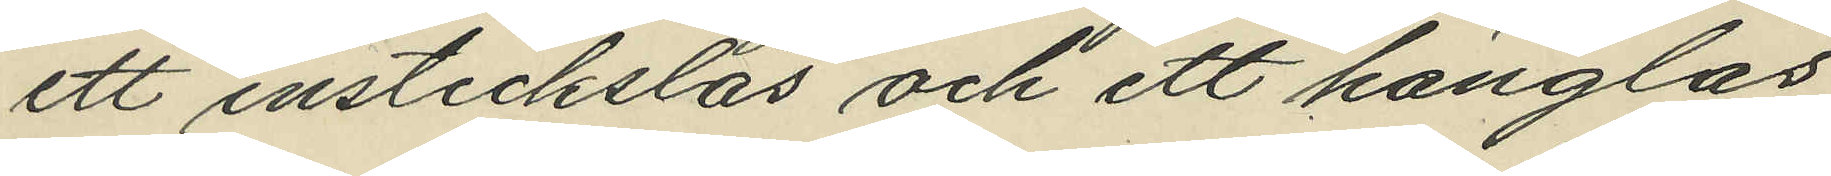ett instickslås och ett hänglås
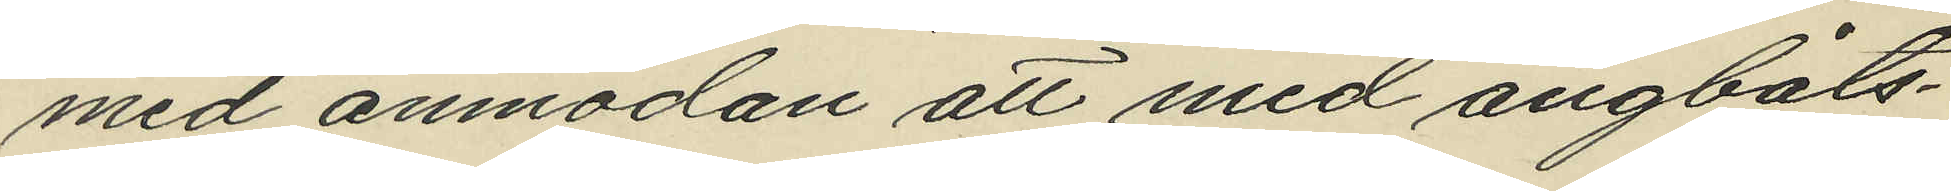med anmodan att med ångbåts¬
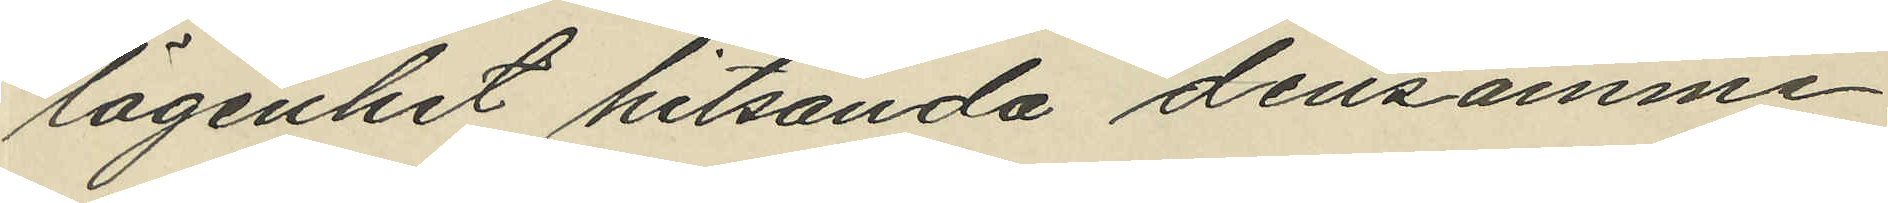lägenhet hitsända densamme
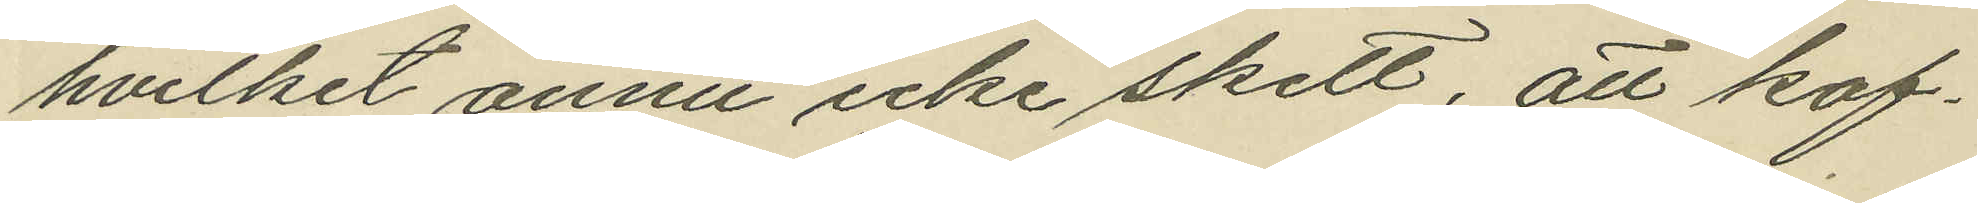hvilket ännu icke skett, att kof¬
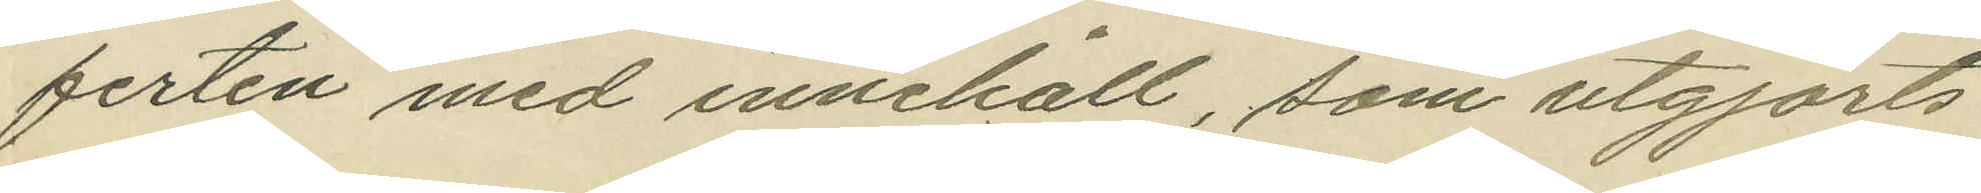ferten med innehåll, som utgjorts
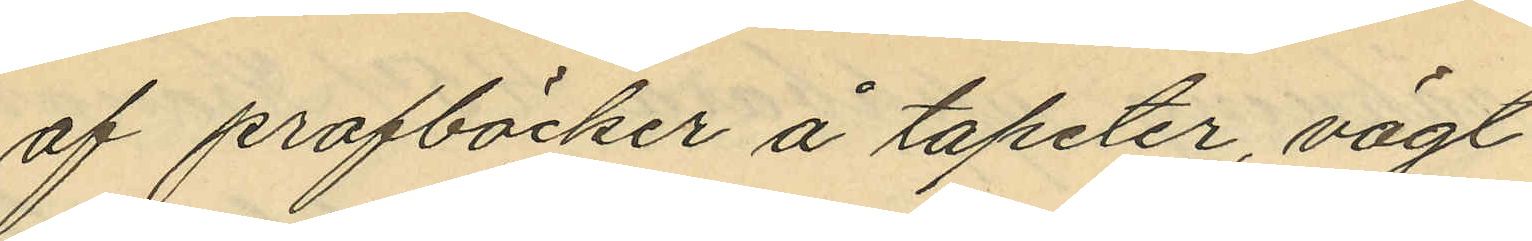af profböcker å tapeter, vägt
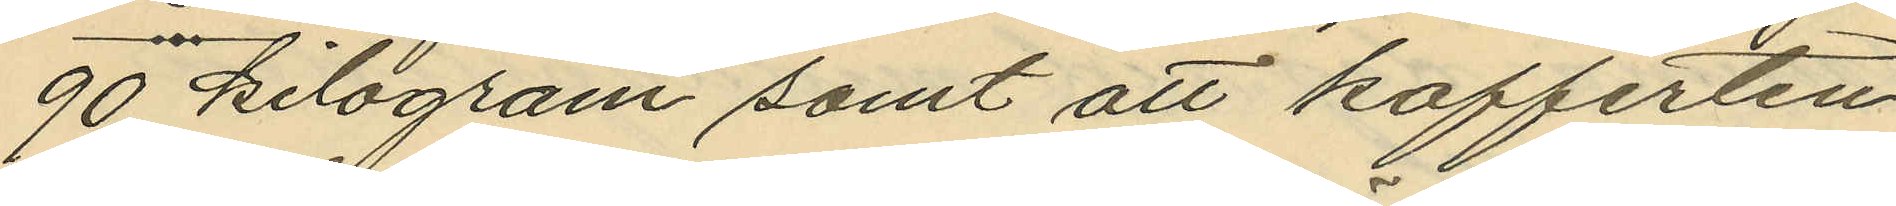90 kilogram samt att kofferten
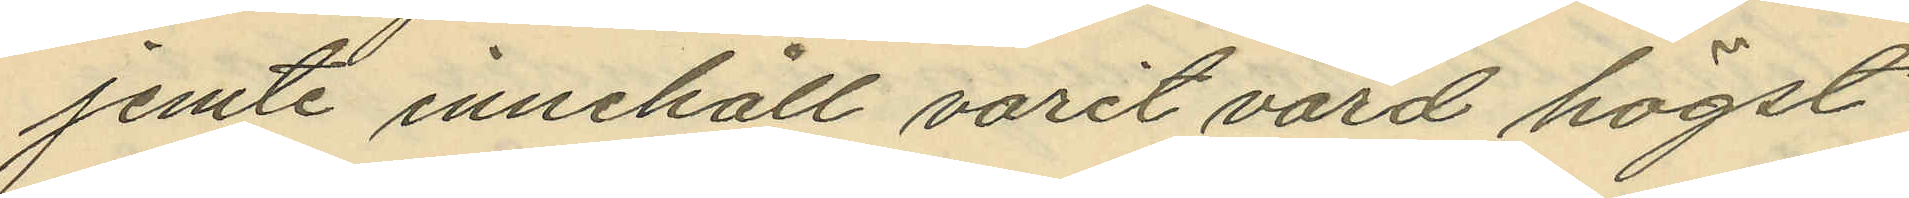jemte innehåll varit värd högst
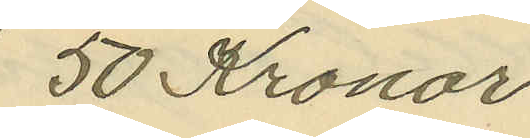50 Kronor.
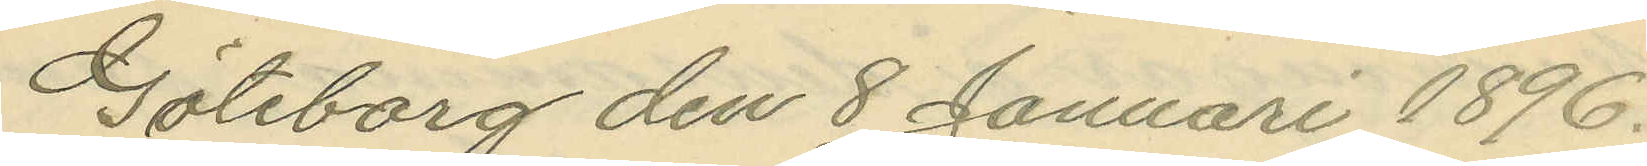Göteborg den 8 Januari 1896.
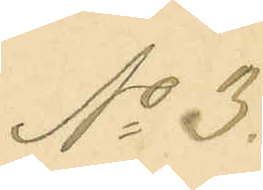No 3.
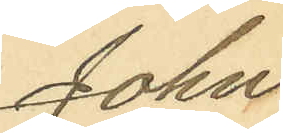John
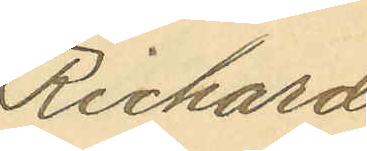Richard
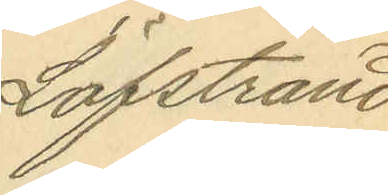Löfstrand.
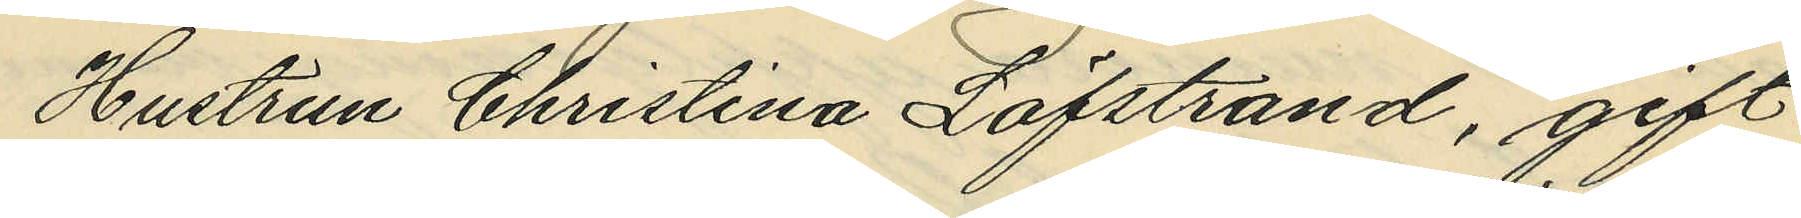Hustrun Christina Löfstrand, gift
